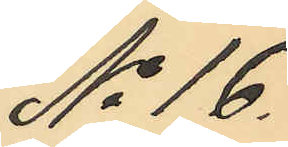No 16.
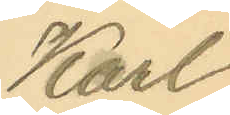Karl
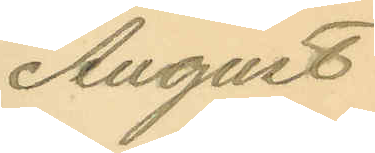August
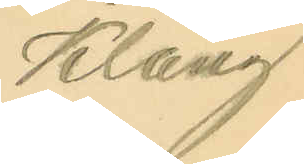Klang
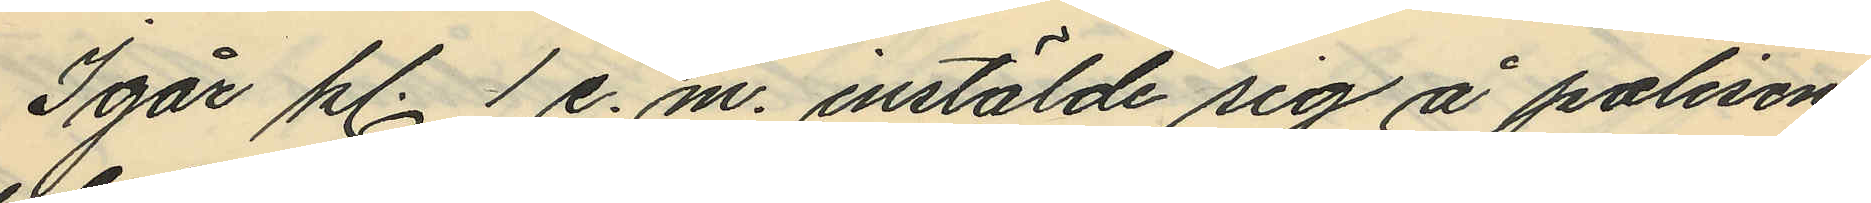Igår kl. 1 e.m. instälde sig å polisens
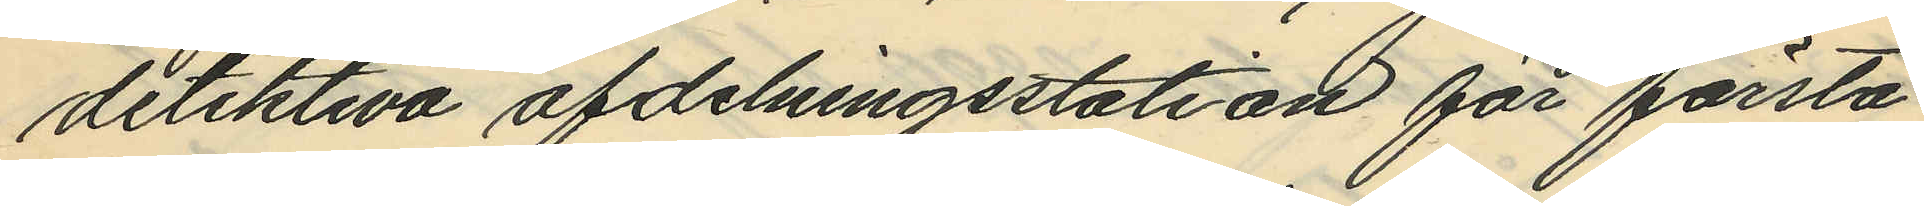detektiva afdelningsstation för första
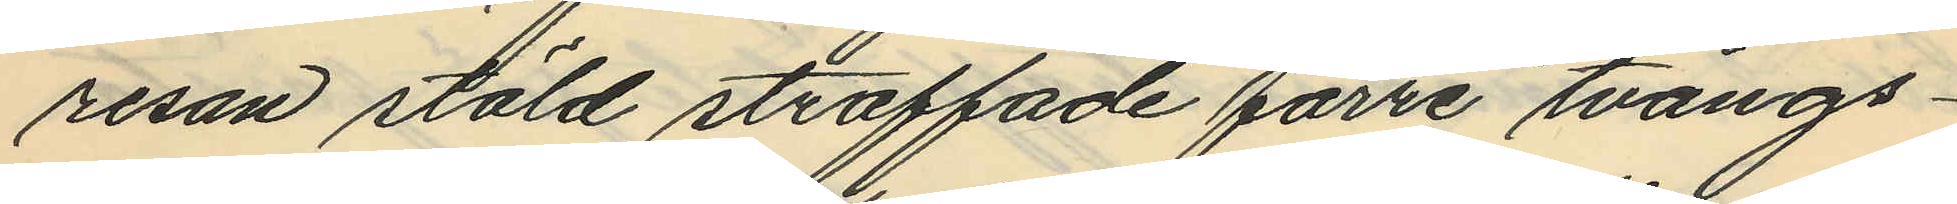resan stöld straffade förre tvångs¬
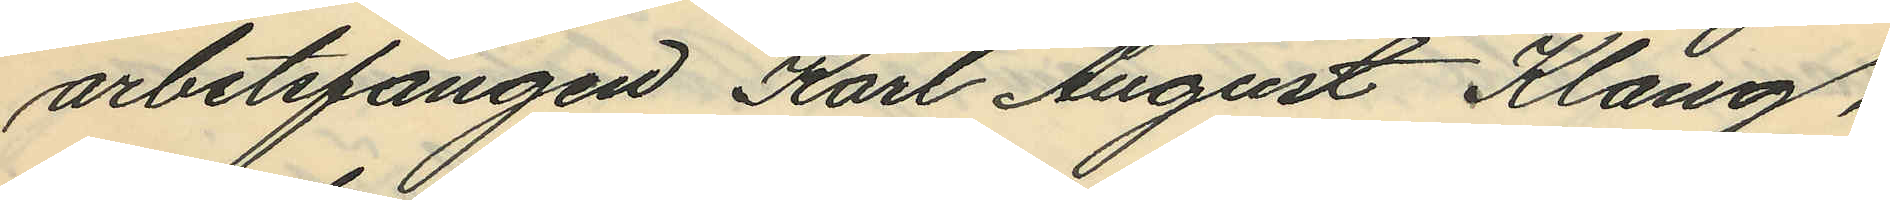arbetsfången Karl August Klang,
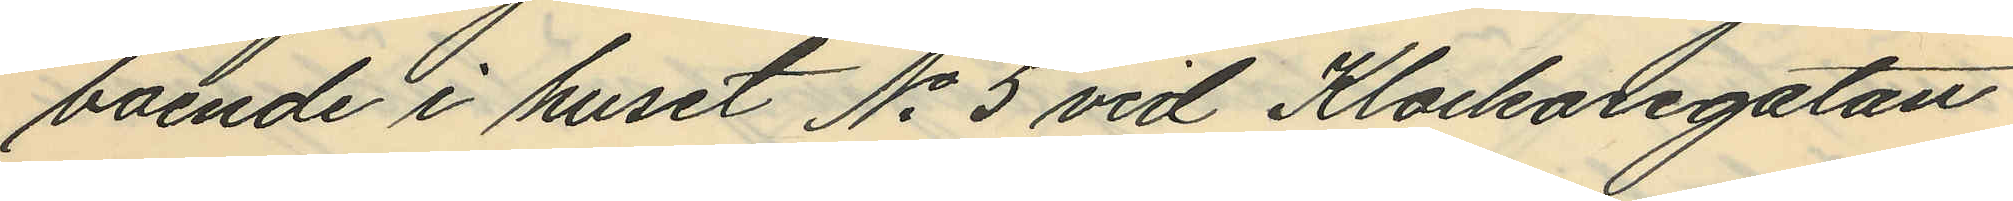boende i huset No 5 vid Klockaregatan
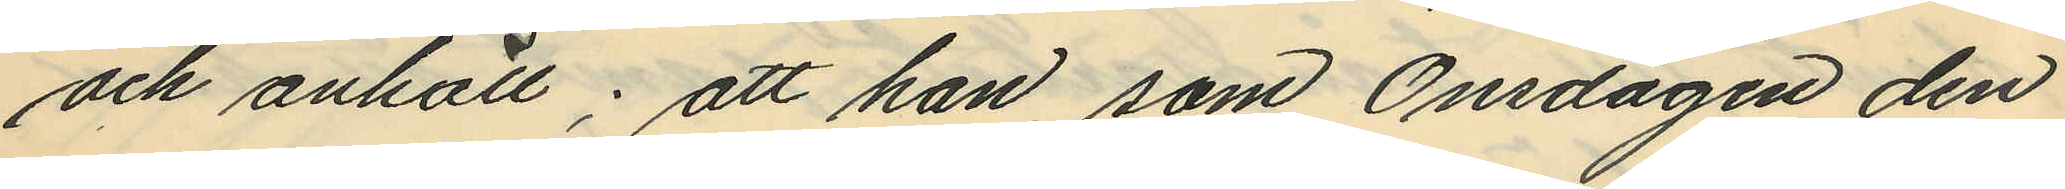och anhöll; att han, som Onsdagen den
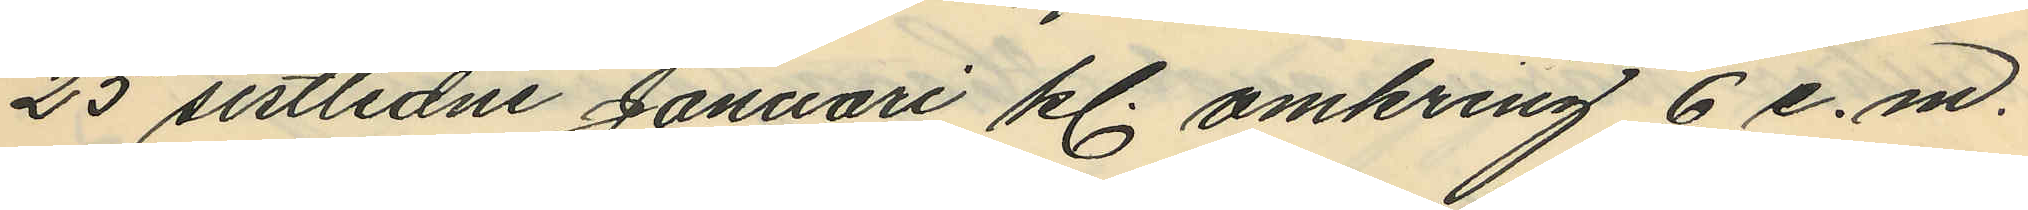25 sistlidne Januari kl. omkring 6 e. m.
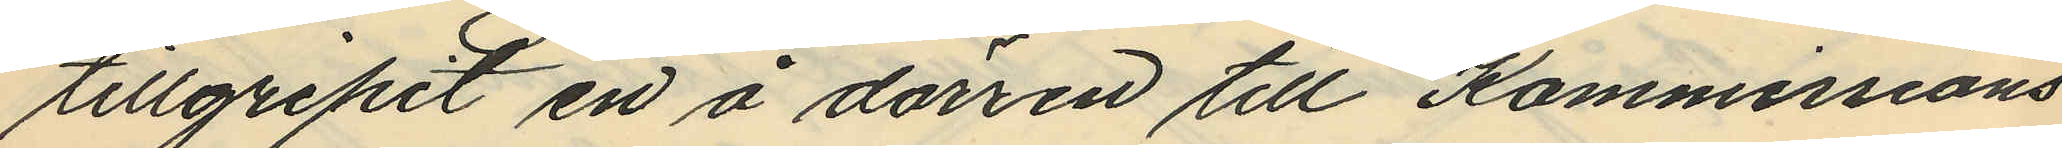tillgripit en å dörren till Kommissions
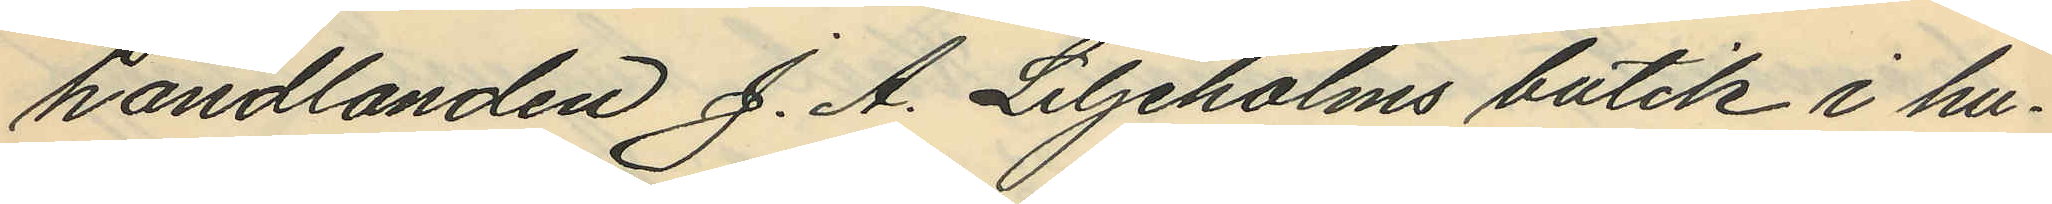handlanden J. A. Liljeholms butik i hu¬
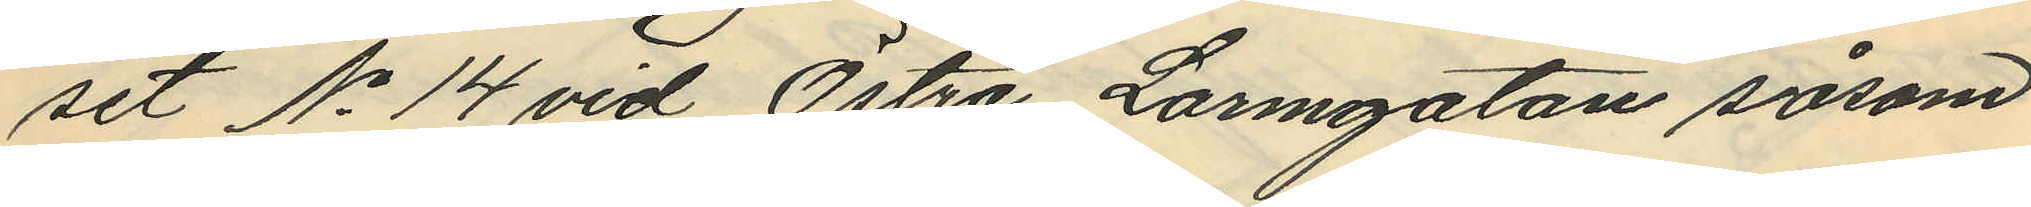set No 14 vid Östra Larmgatan såsom
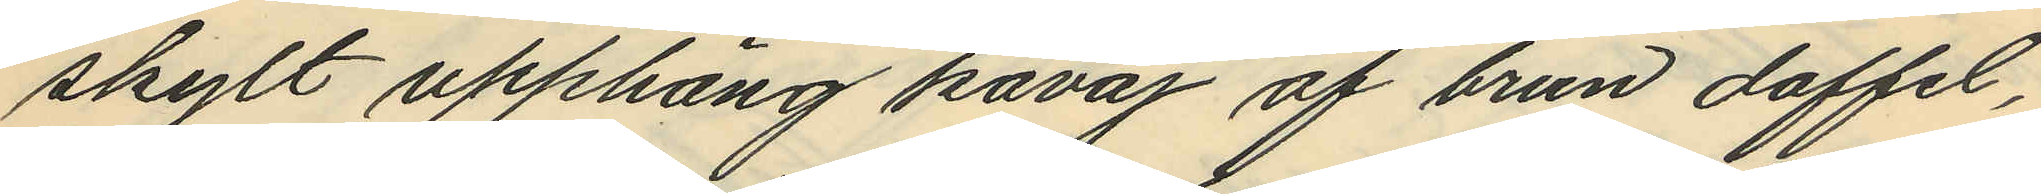skylt upphäng kavaj af brun doffel,
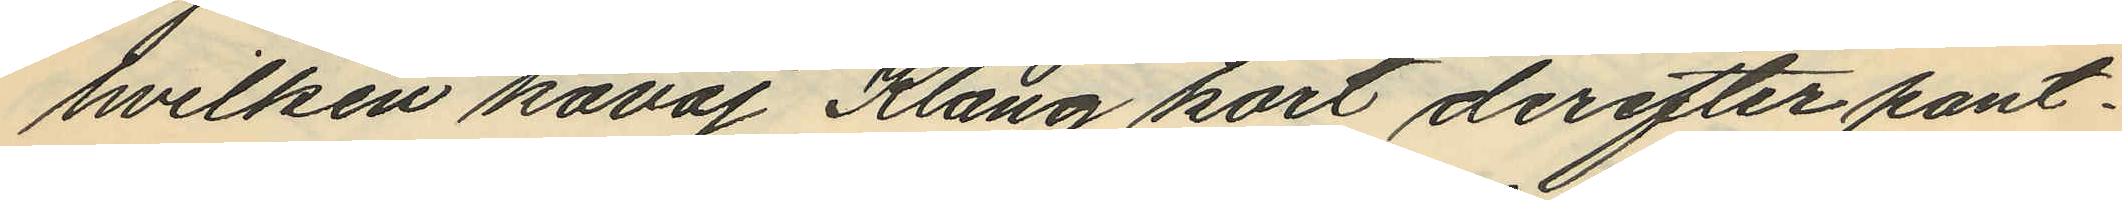hvilken kavaj Klang kort derefter pant¬
